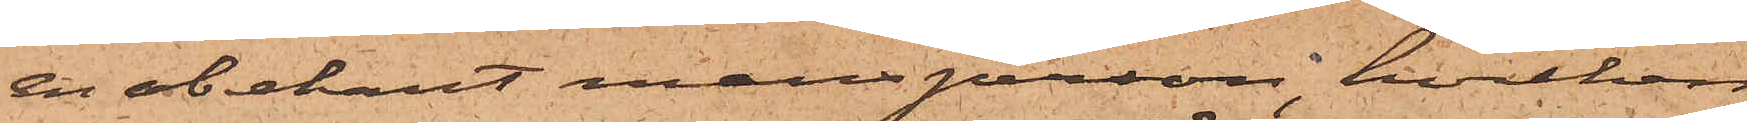en obekant mansperson, hvilken
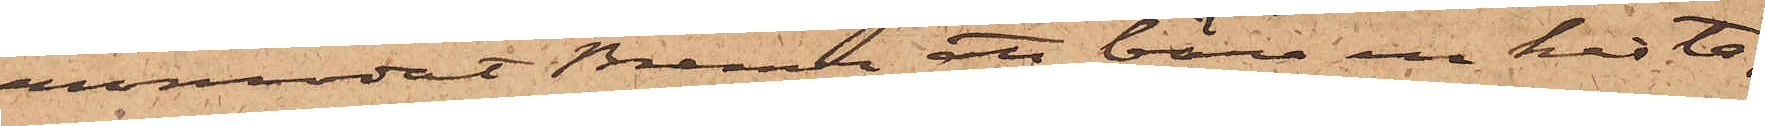anmodat Bremer att bära en kista,
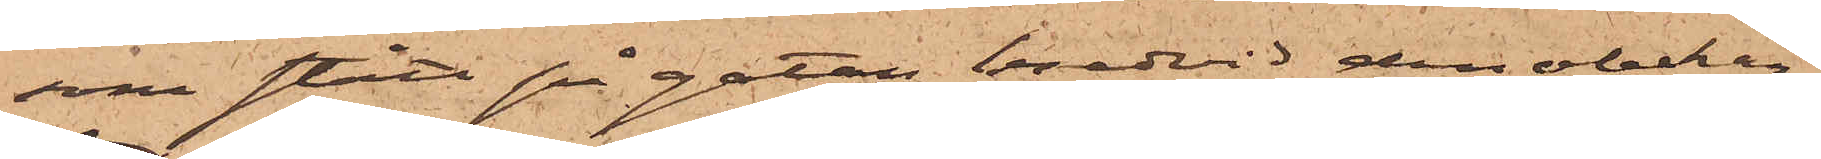som stått på gatan bredvid den obekan¬
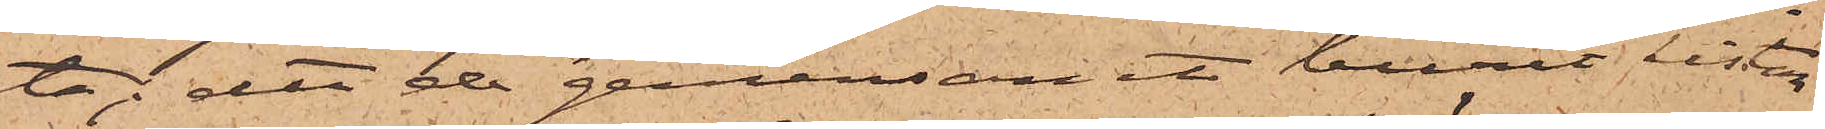ta; att de gemensamt burit kistan
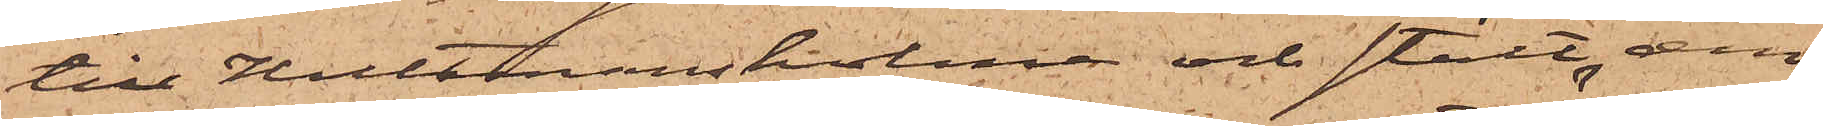till Hultmansholme och stält den
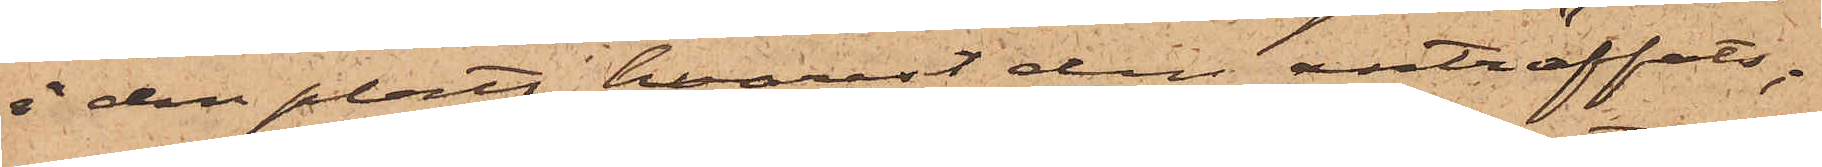å den plats, hvarest den anträffats;
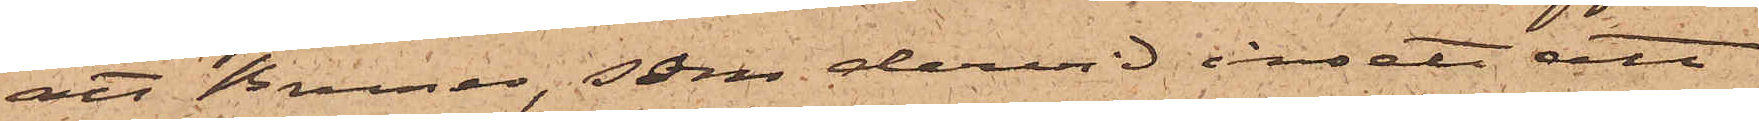att Bremer, som dervid insett att
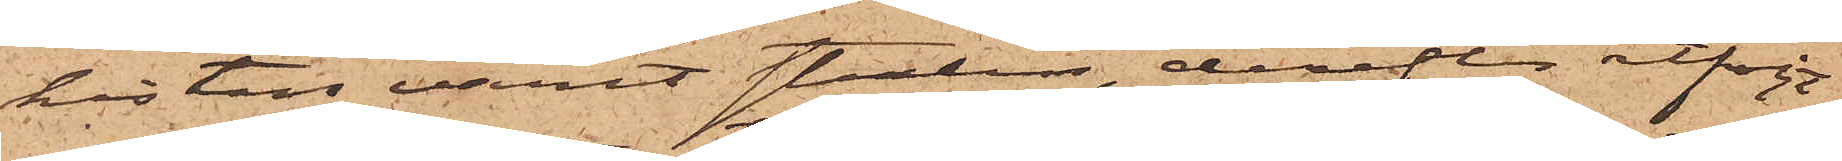kistan varit stulen, derefter åtföljt
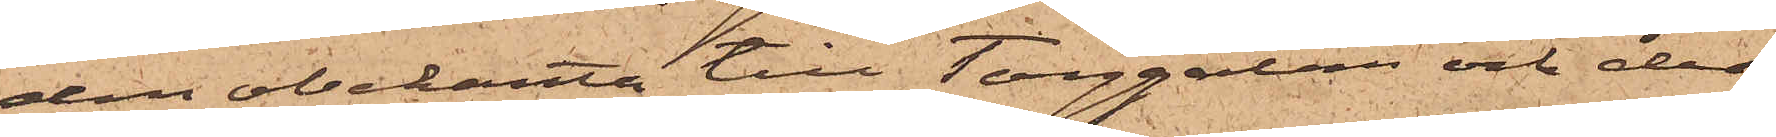den obekanta till Torggatan och der,
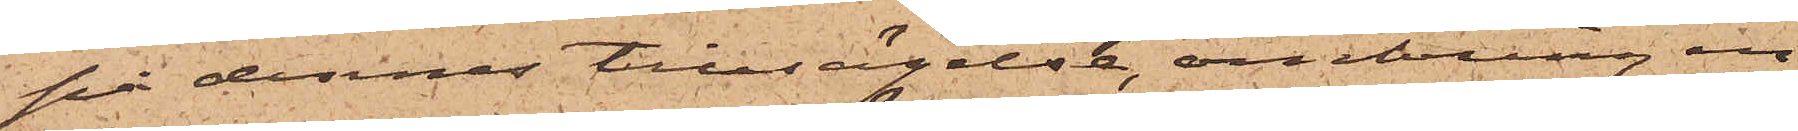på dennes tillsägelse, omkring en
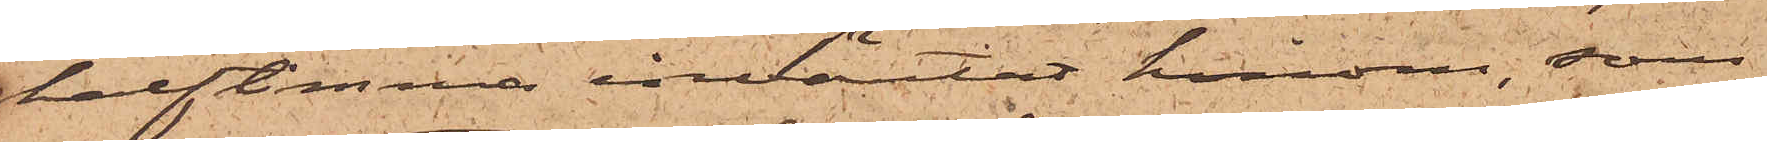halftimma inväntat honom, som
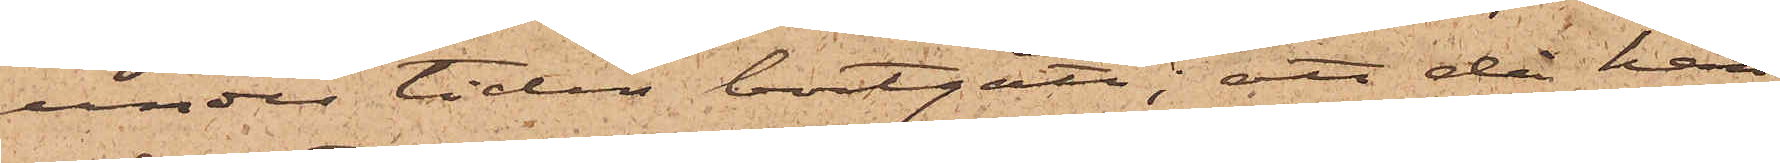under tiden bortgått; att då han
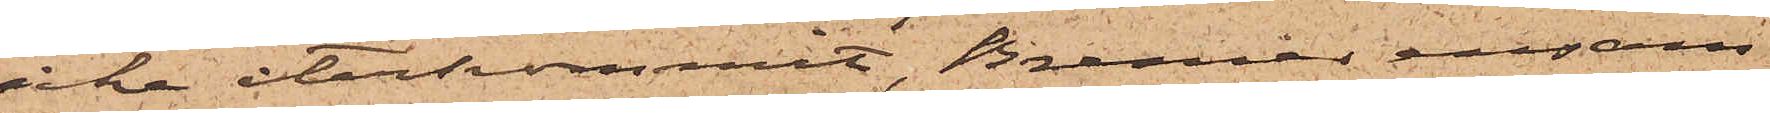icke återkommit, Bremer ensam
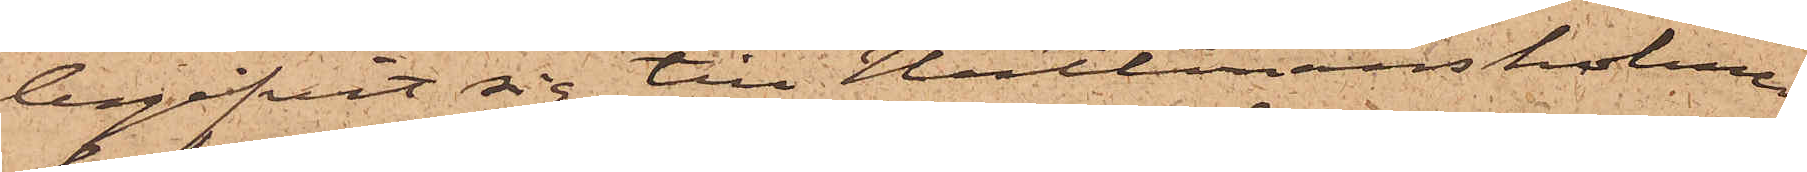begifvit sig till Hultmansholme
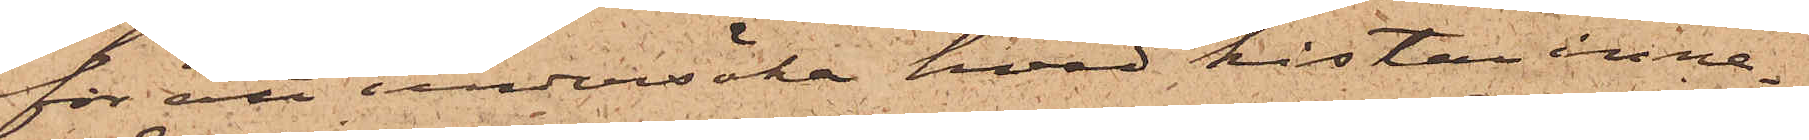för att undersöka hvad kistan inne¬
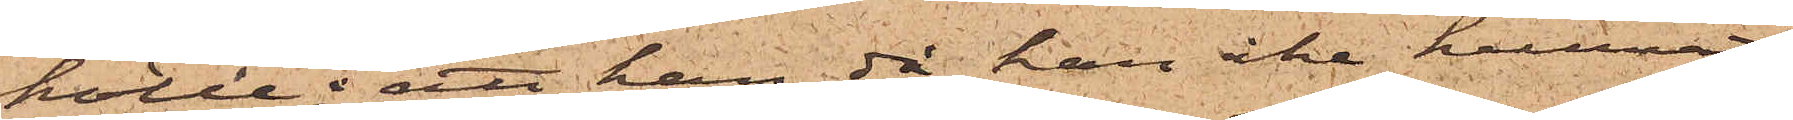hölle; att han då han icke kunnat
